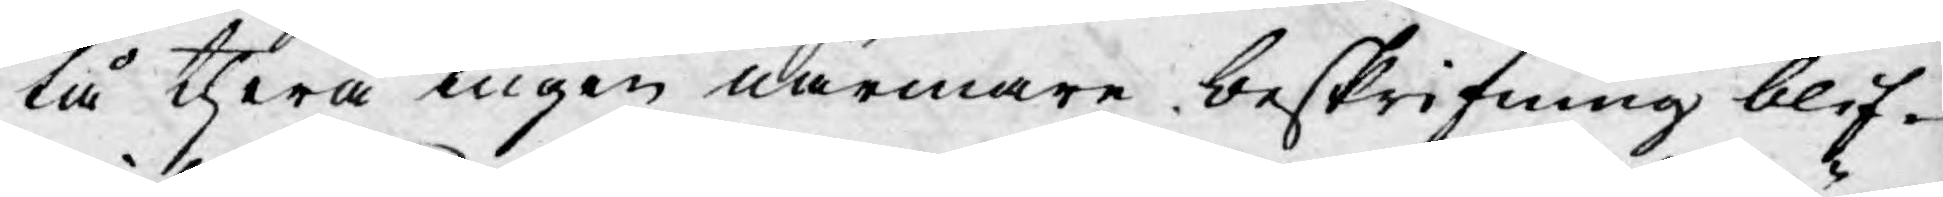tå thera ingen närmare beskrifning blif¬
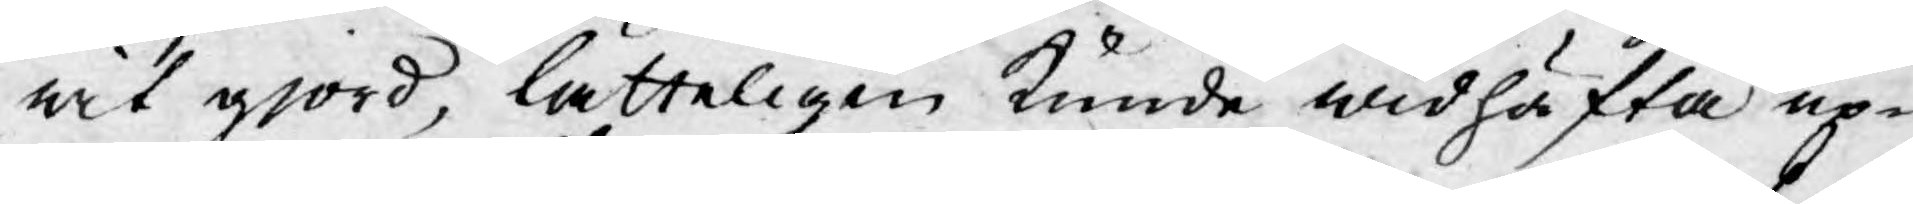wit gjord, lätteligen kunde widhäfta up¬
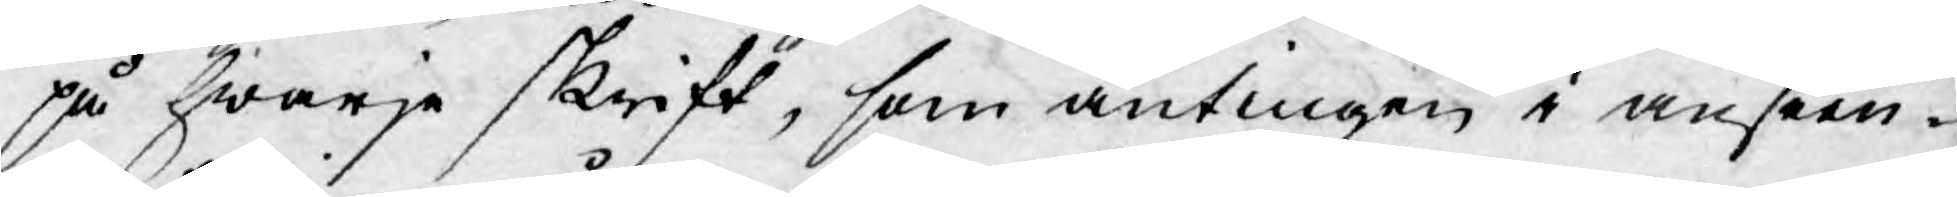på hwarje skrift, som antingen i anseen¬
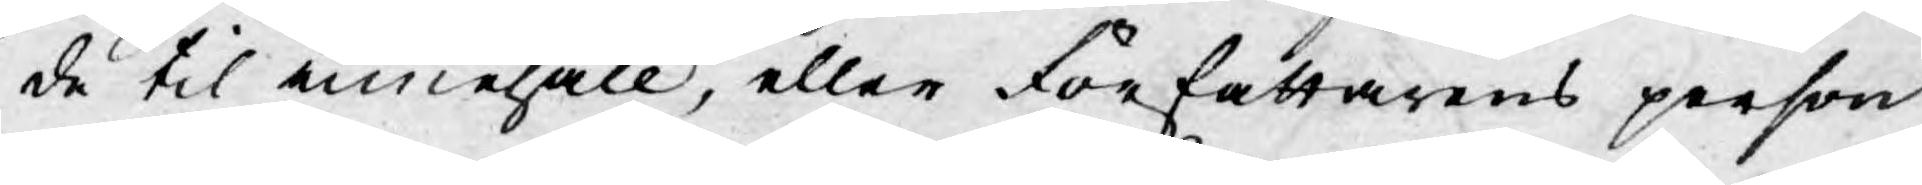de til innehåll, eller författarens person
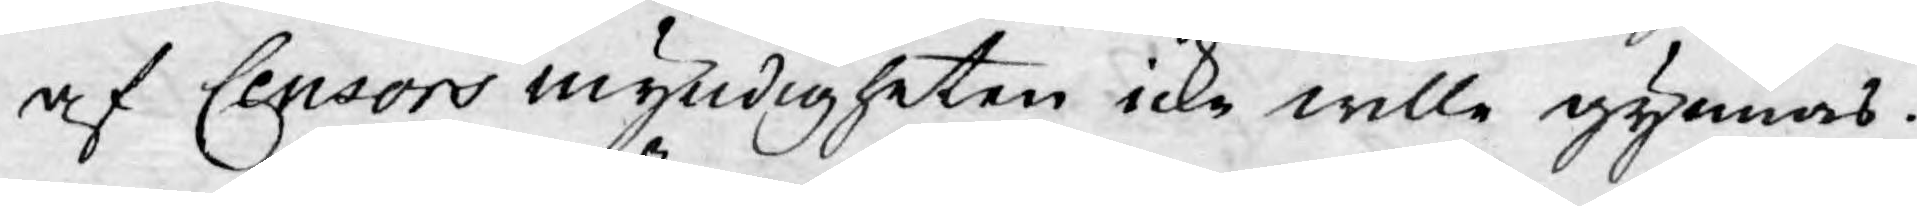af Censors myndigheten icke wille gynnas.
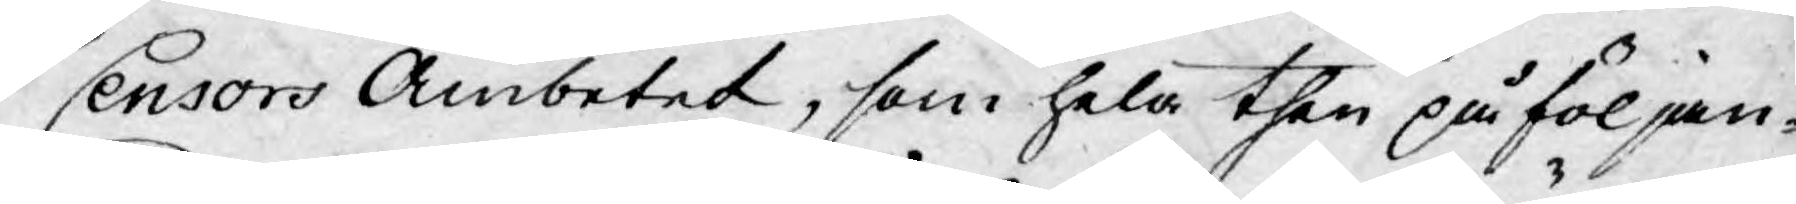Censors Ämbetet, som hela then på följan¬
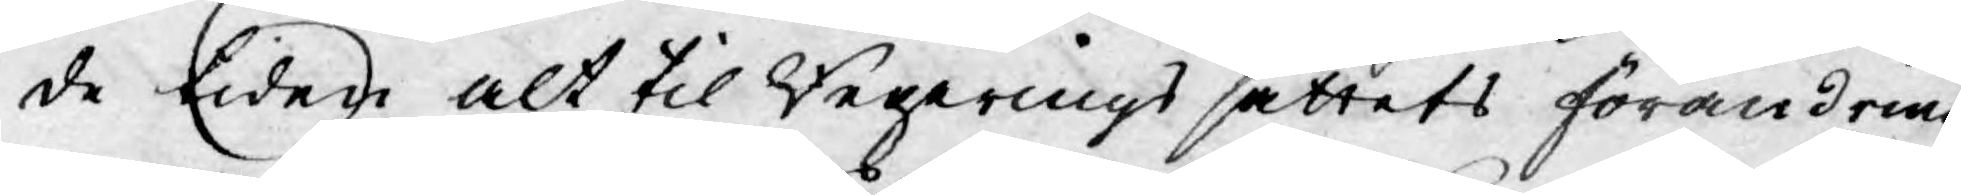de tiden alt til Regerings sättets förändring
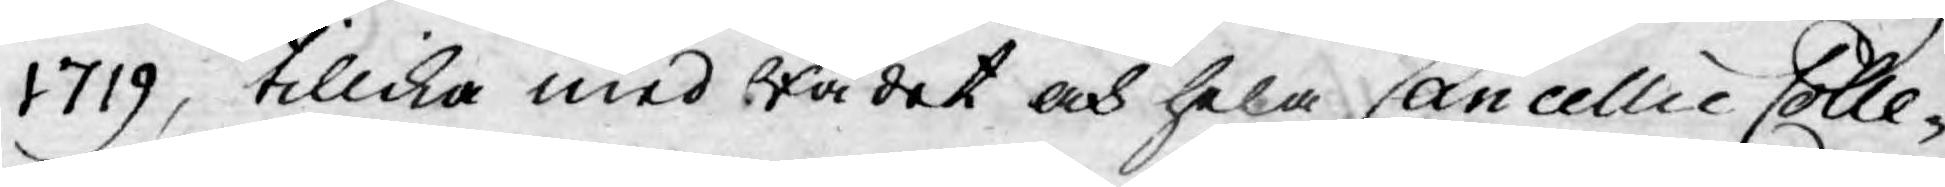1719, tillika med Rådet och hela Cancellie Colle¬
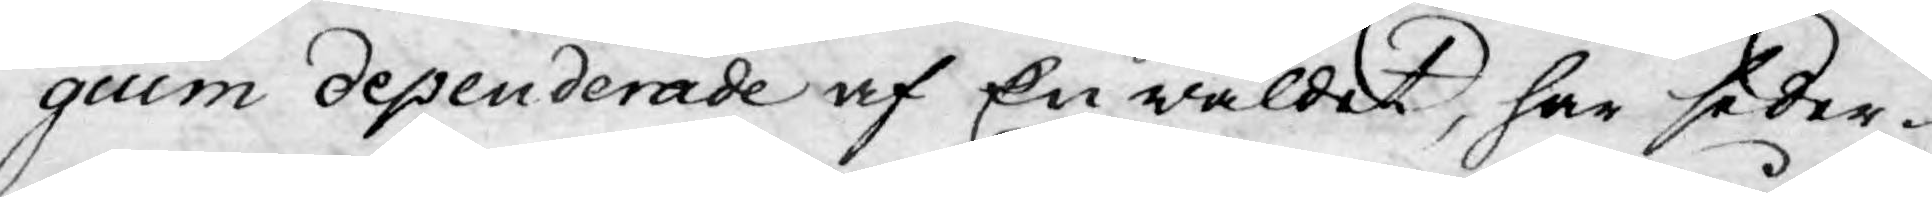gium dependerade af En wäldet, har seder¬
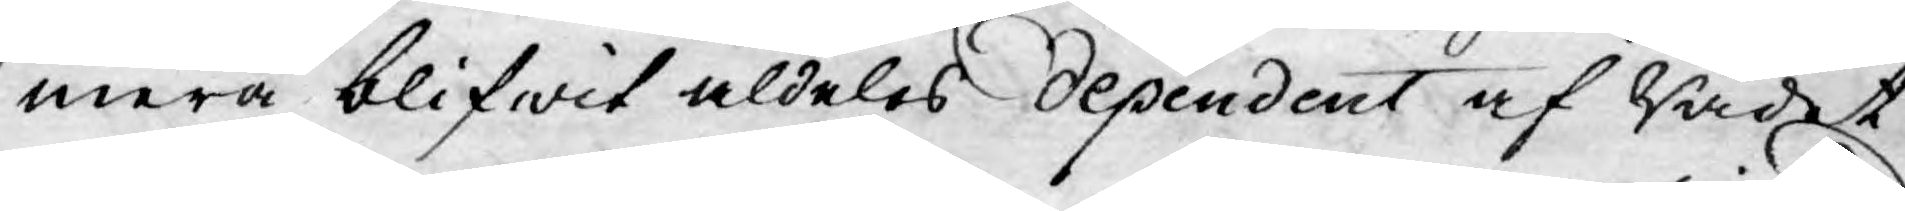mera blifwit aldeles dependent af Rådet
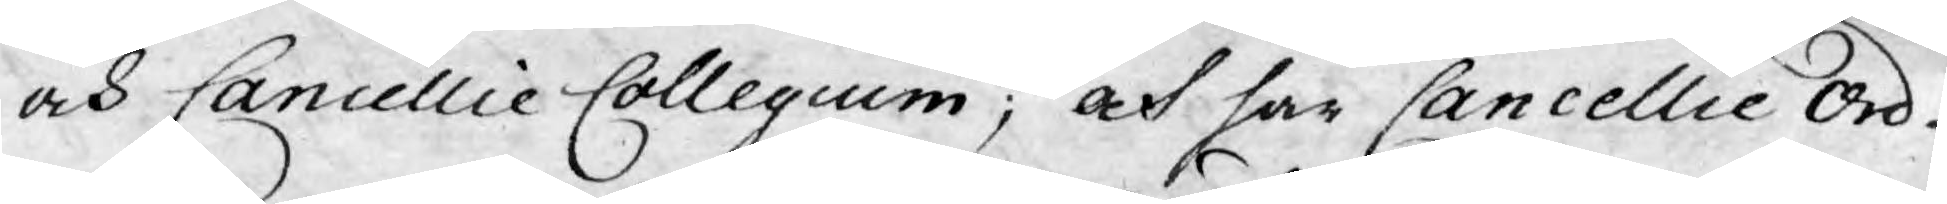och Cancellie Collegium; och har Cancellie Ord-
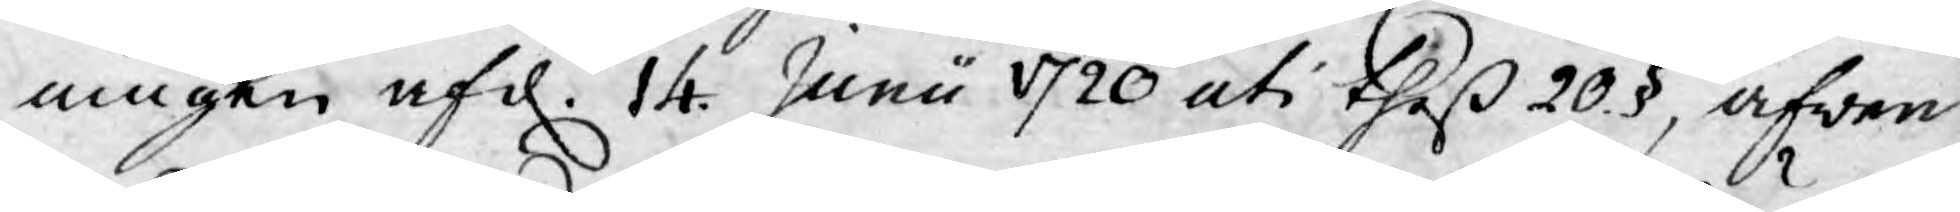ningen af d. 14 Junii 1720 uti theß 20 §, äfwen
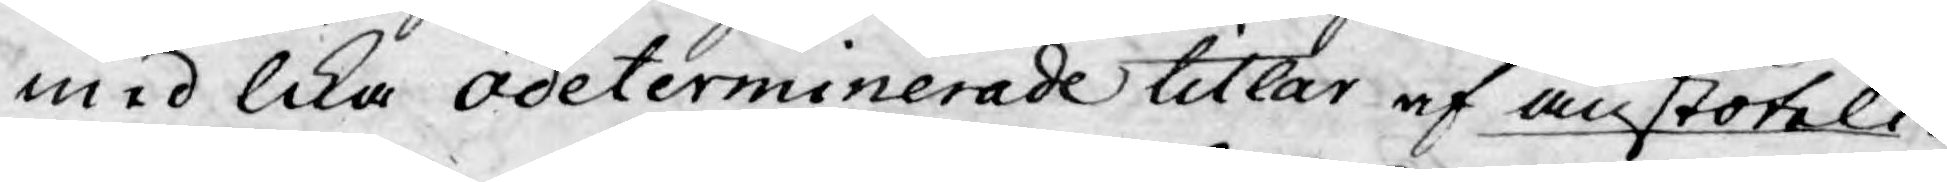med lika odeterminerade titlar af anstöteli-
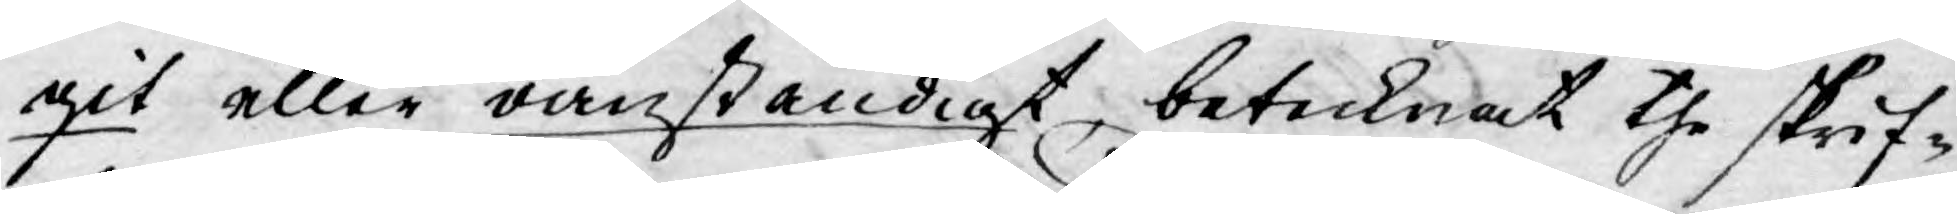git eller oanständigt, betecknat the skrif¬
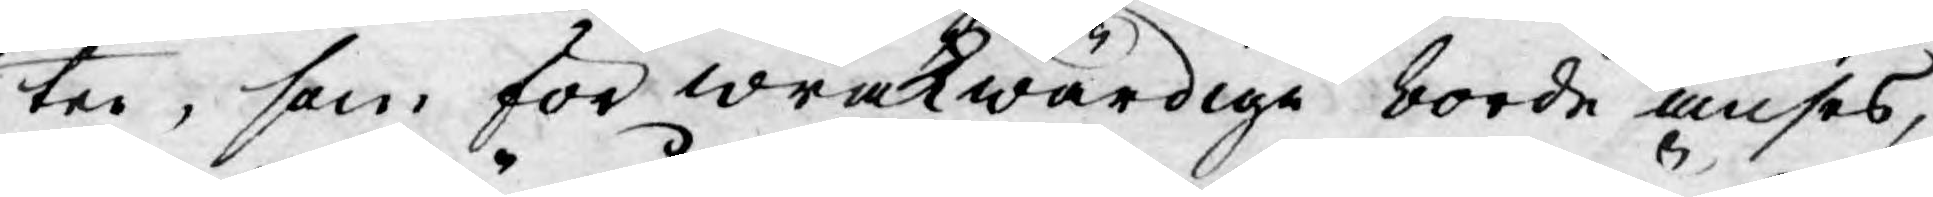ter, som för wrakwärdige borde anses,
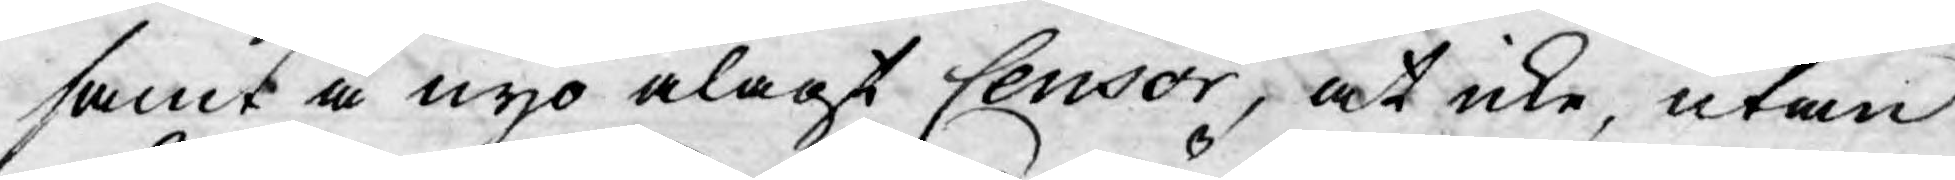samt å nyo ålagt Censor, at icke, utan
